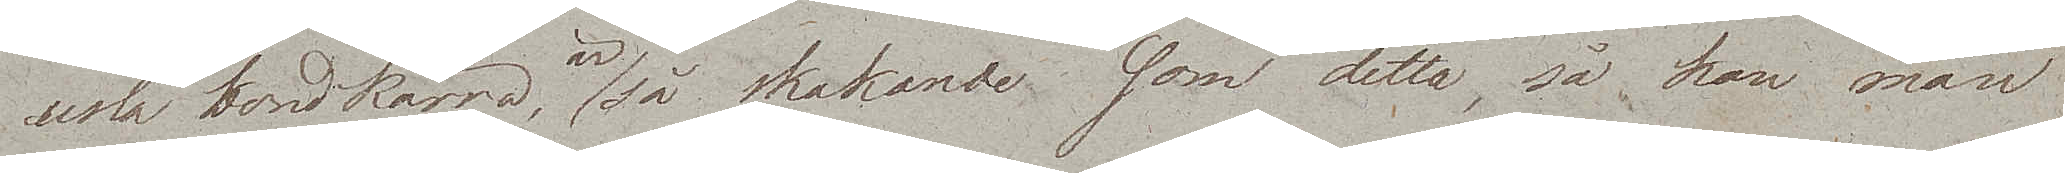usla bondkärra, är så skakande, som detta, så kan man
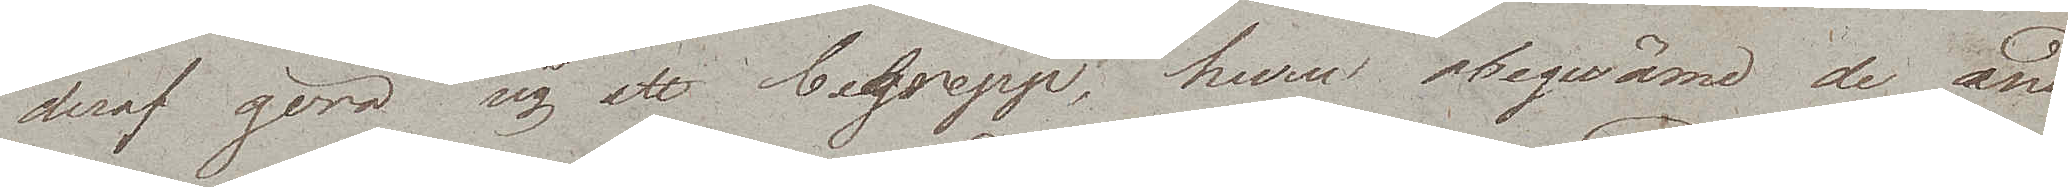deraf göra sig ett begrepp; huru obeqwäme de andra
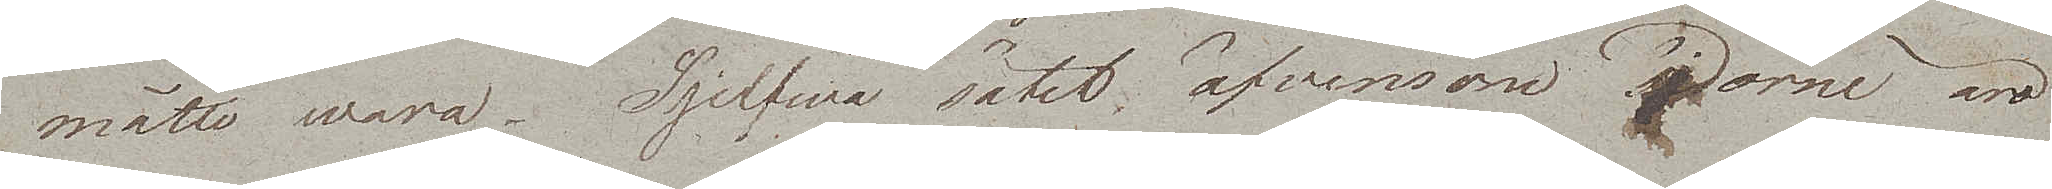måtte wara. Sjelfwa sätet äfvensom sidorne äro
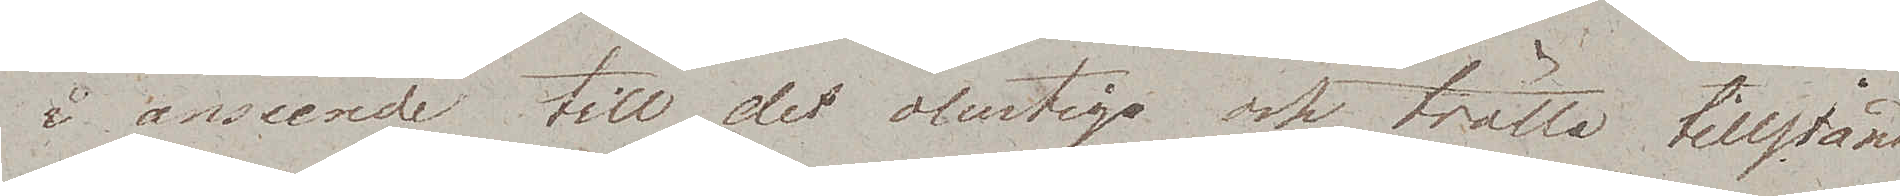i anseende till det olustiga och trötta tillstånd
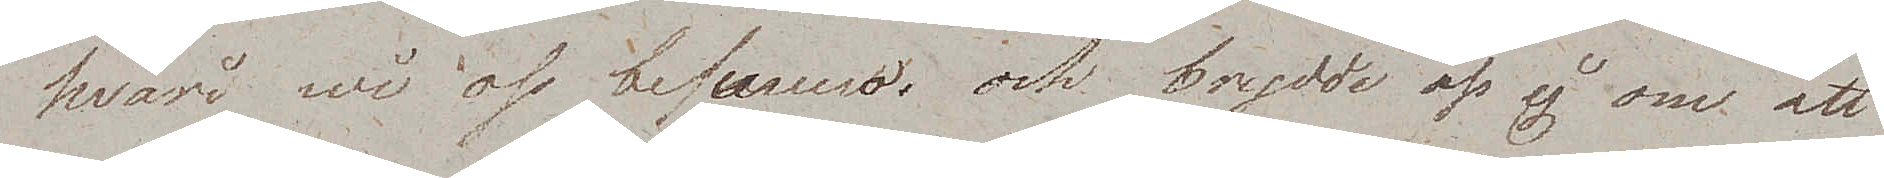hvari wi oss befunno, och brydde oss ej om att
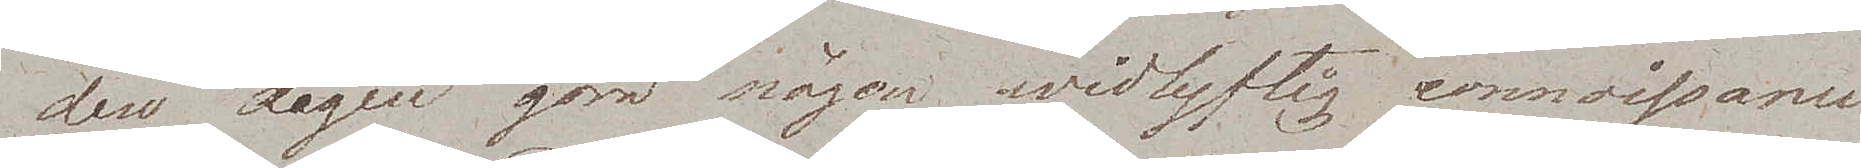den dagen göra någon widlyftig connaissance
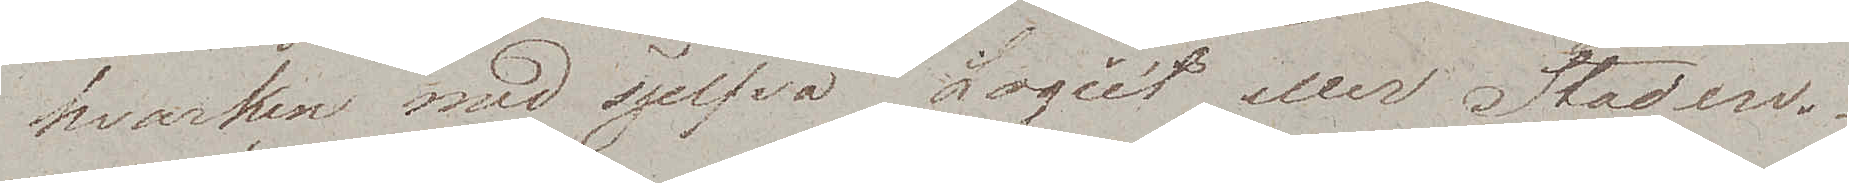hvarken med sjelfva Logiet eller Staden.
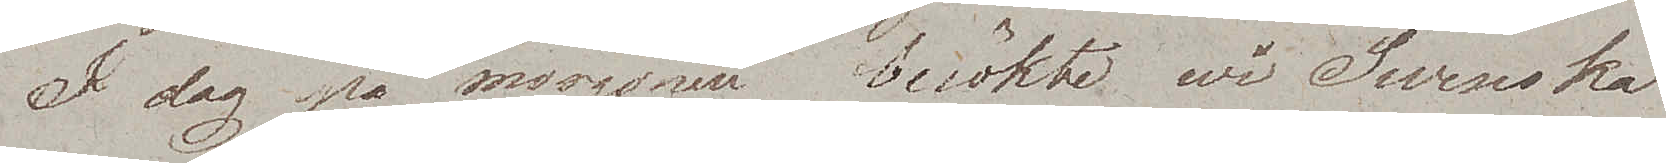I dag på morgonen besökte wi Swenska
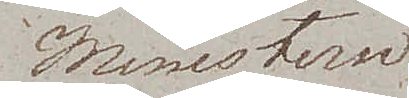Ministern
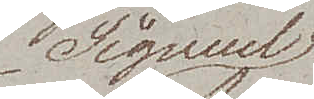Signeul
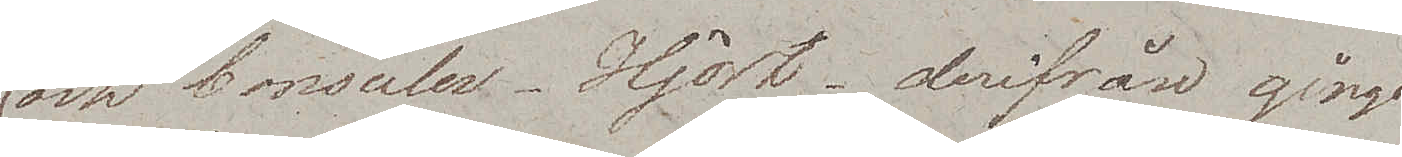och konsuler - Hjort - derifrån gingo
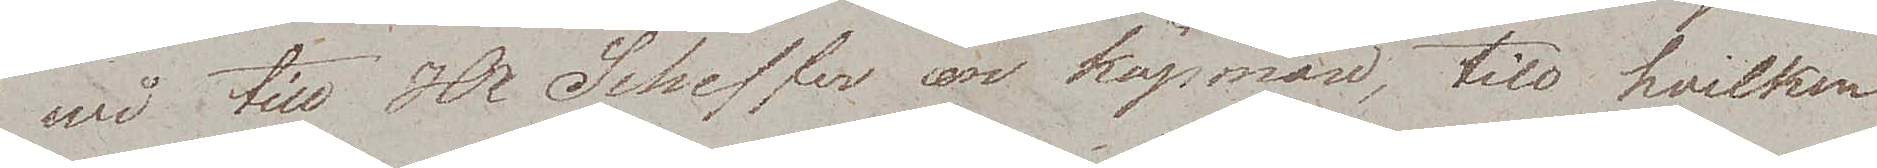wi till Hr Scheffer en köpman, till hvilken
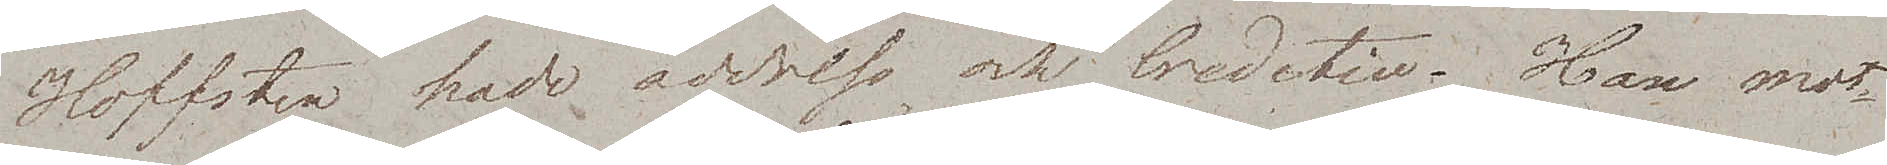Hoffsten hade address och Creditive. Han mot¬
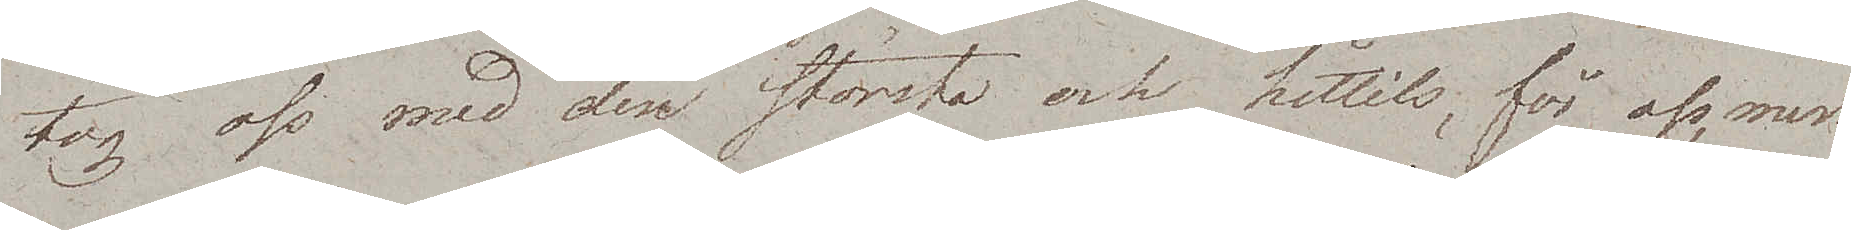tog oss med den största och hittills, för oss, mest
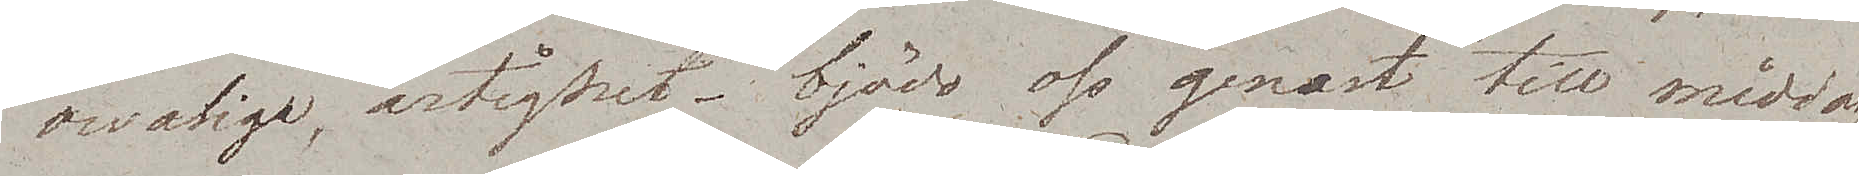ovanliga, artighet – bjödo oss genast till middag
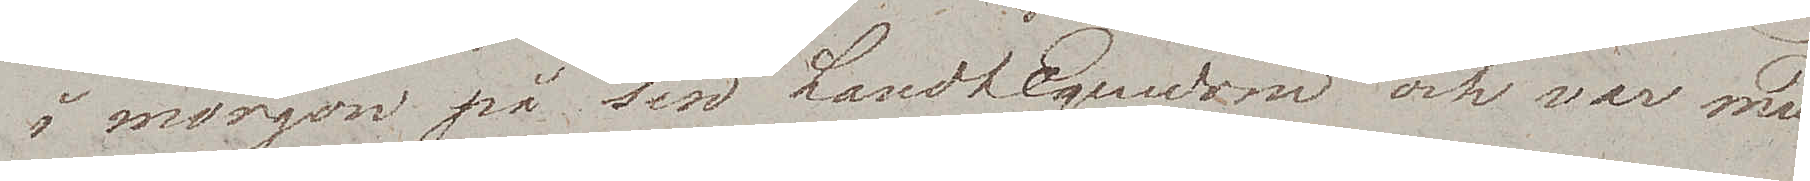i morgon på sin LandtEgendom och var med
